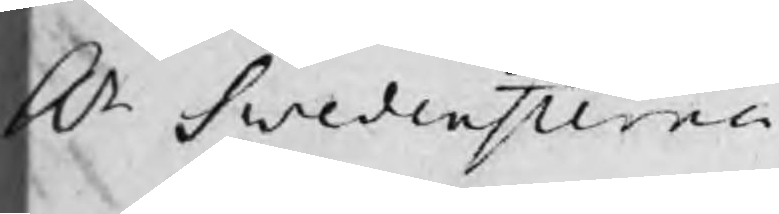Hr Swedenstierna
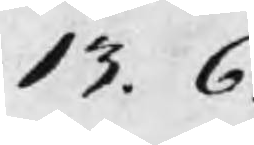13. 6.
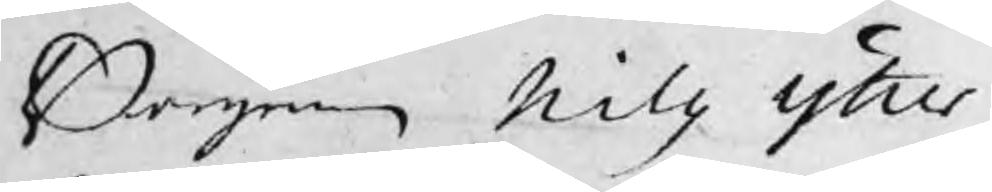Borgaren Nills Ytter
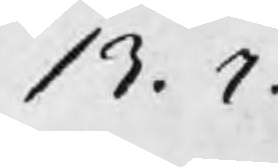13. 7.
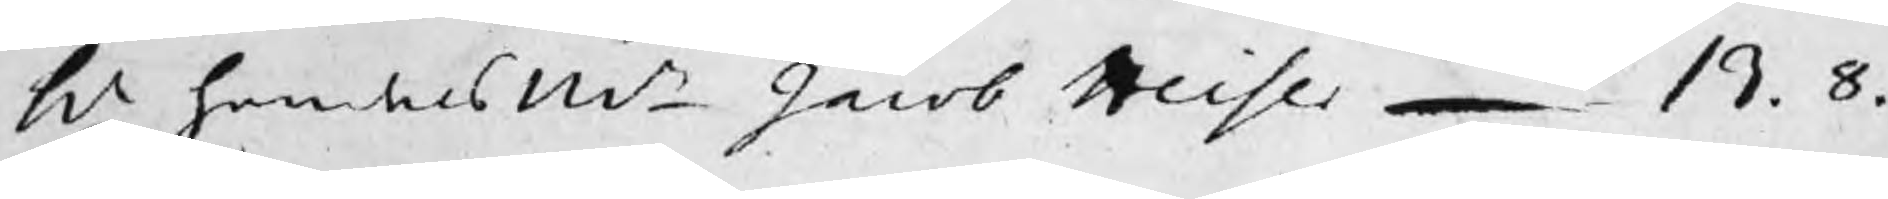h.r handelsMn Jacob Heiser 13. 8.
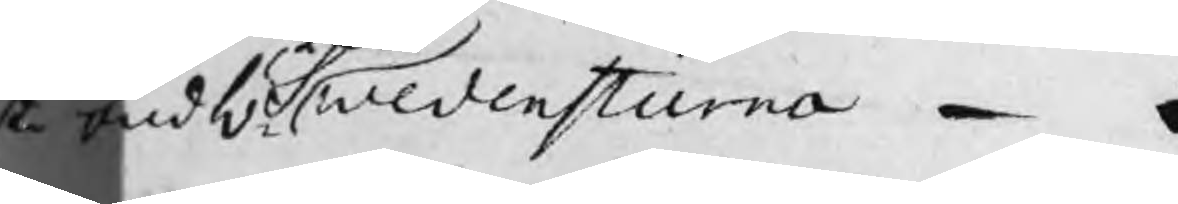sta bud Hr Swedenstierna
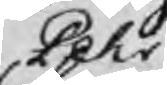Pehr
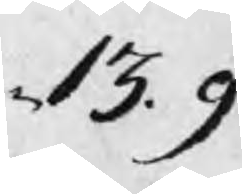13. 9
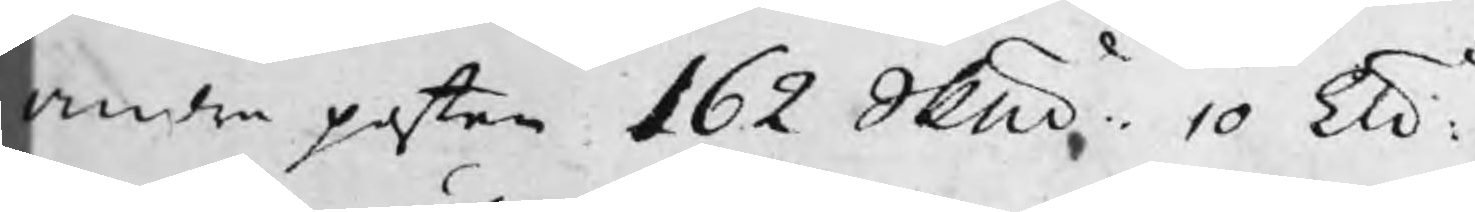Andra posten 162 Skp 10 ℔
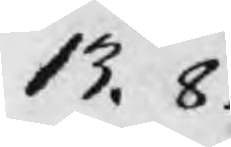13. 8.
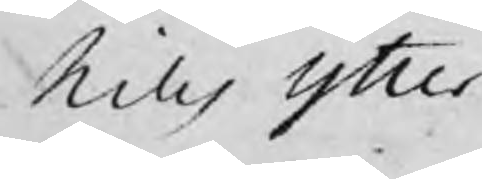Nills Ytter
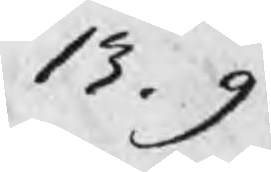13. 9.
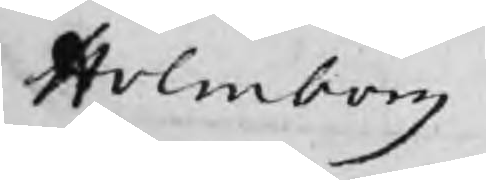Holmborg
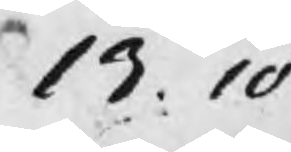13. 10
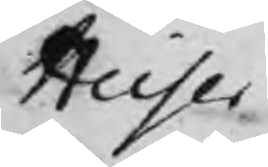Heiser
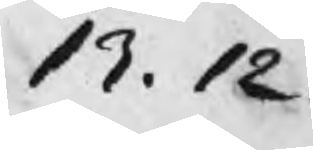13. 12.
